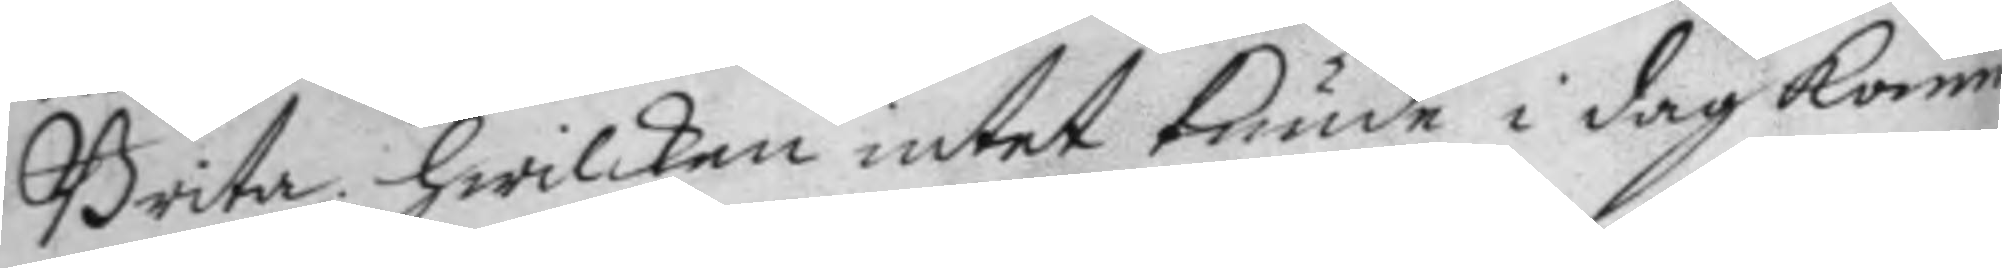Brita; hwilken intet kunde i dag komm
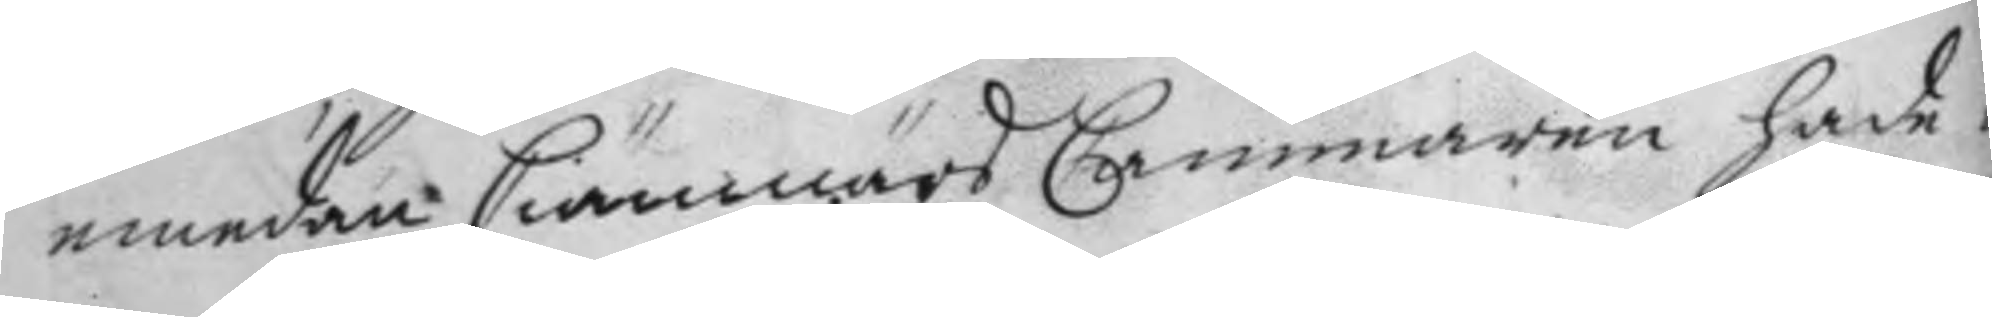emedan Ciämnärs Cammaren hade in¬
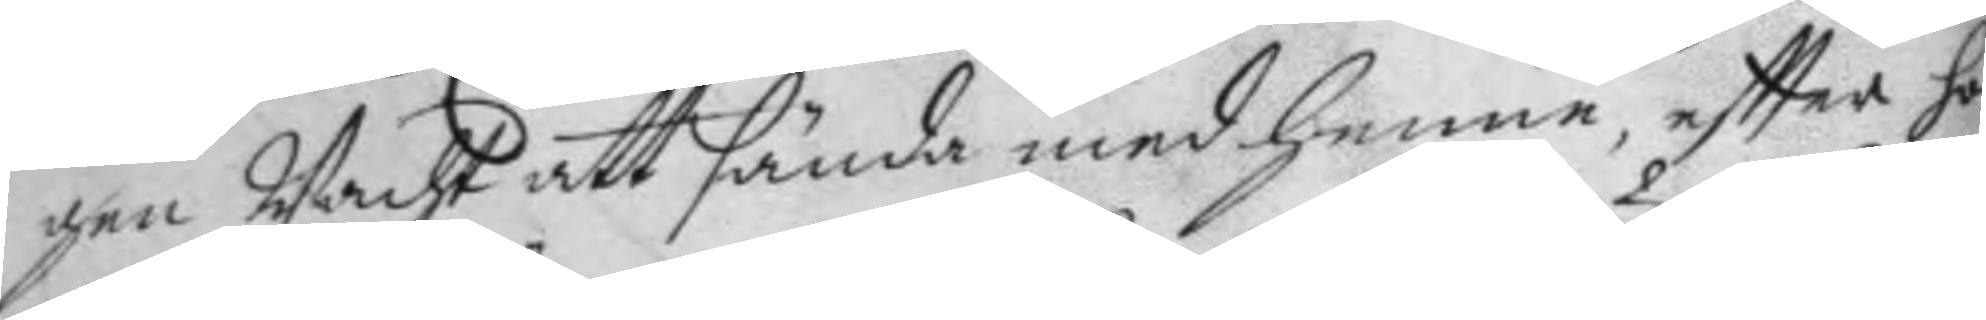gen Wacht att sända med henne, eftter hon
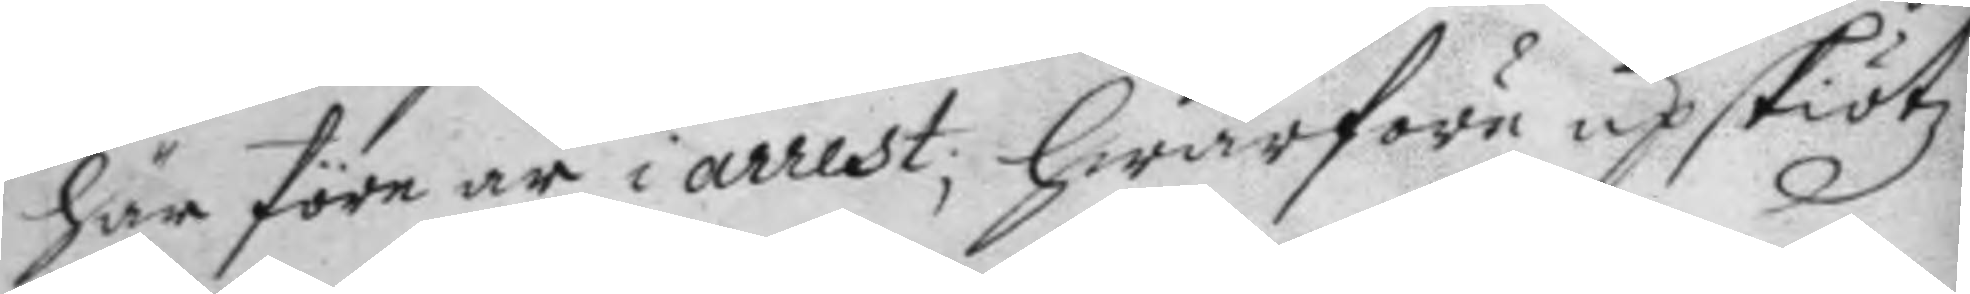här före är i arrest; hwarföre upskiötz
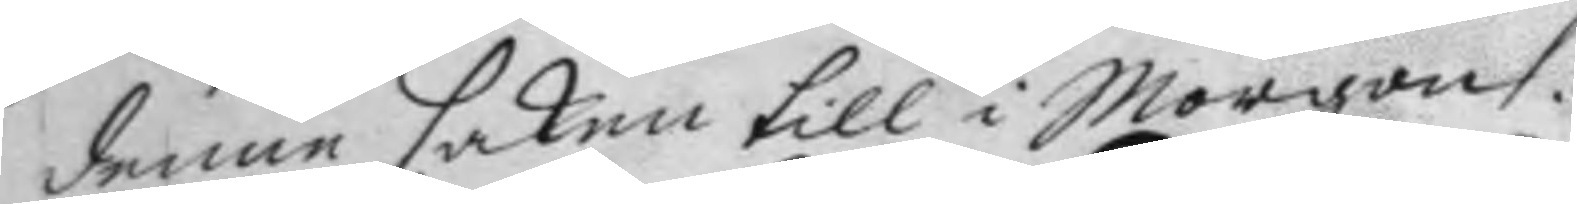denne saken till i Morgon.
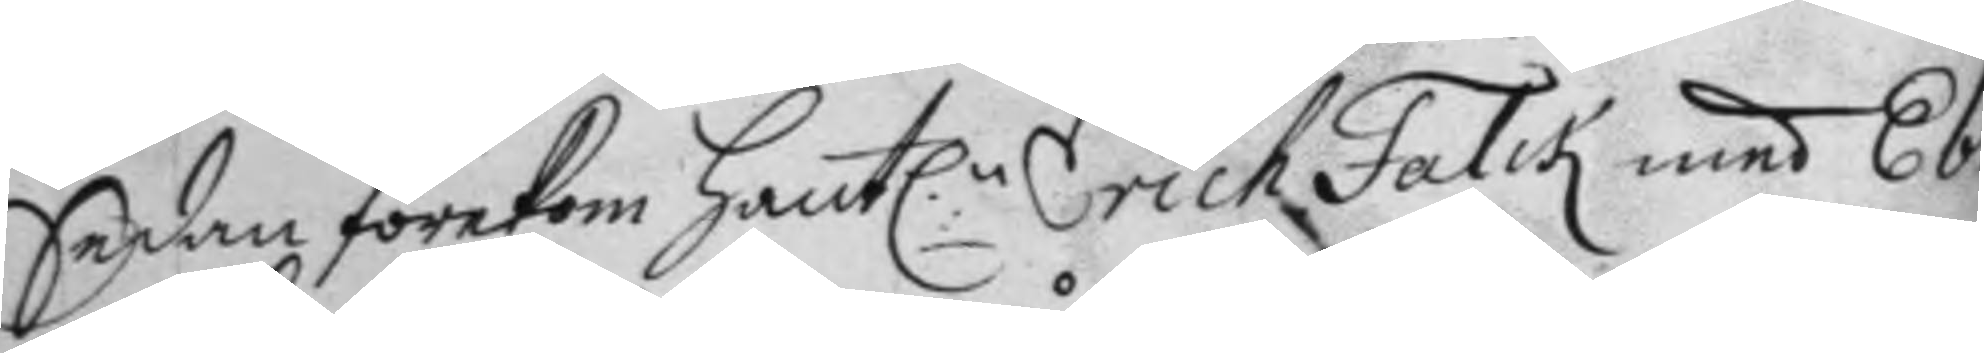Sedan förekom Hantl.n Erich Falck med Ebb 
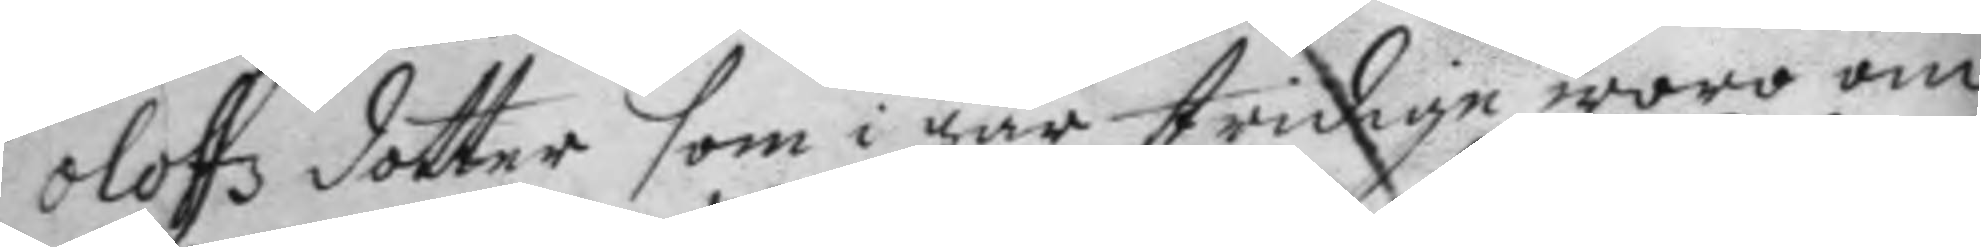Olofz dotter som i går stridige woro om
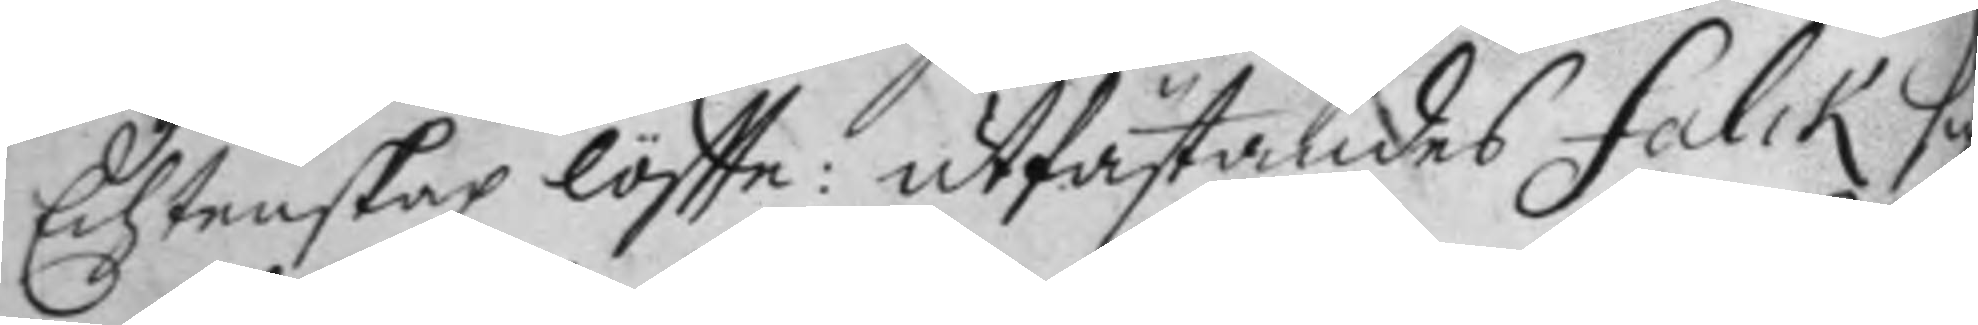Echtenskap löftte: utfästandes Falck sig
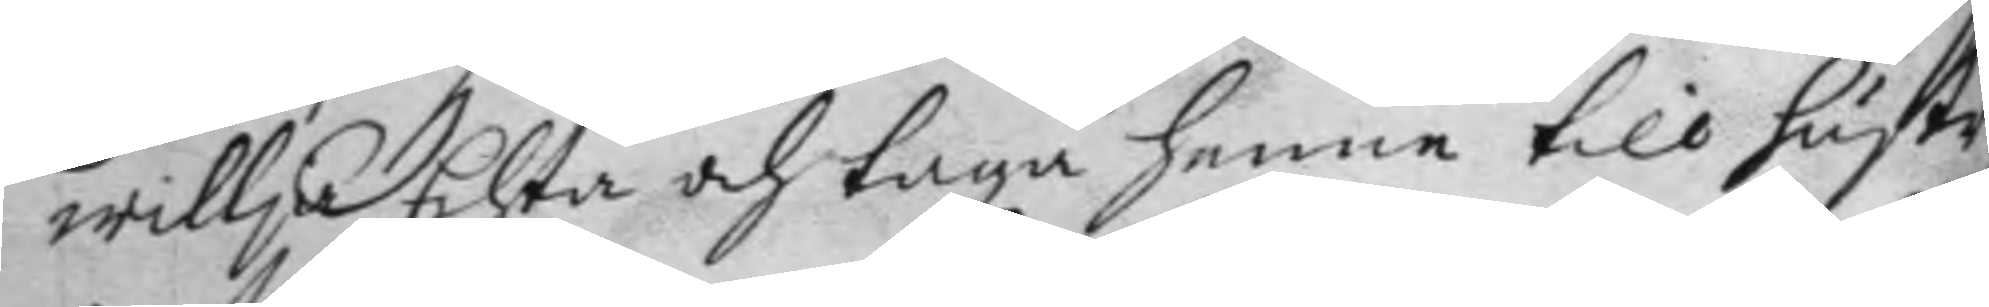willja Echta och taga henne till hustr
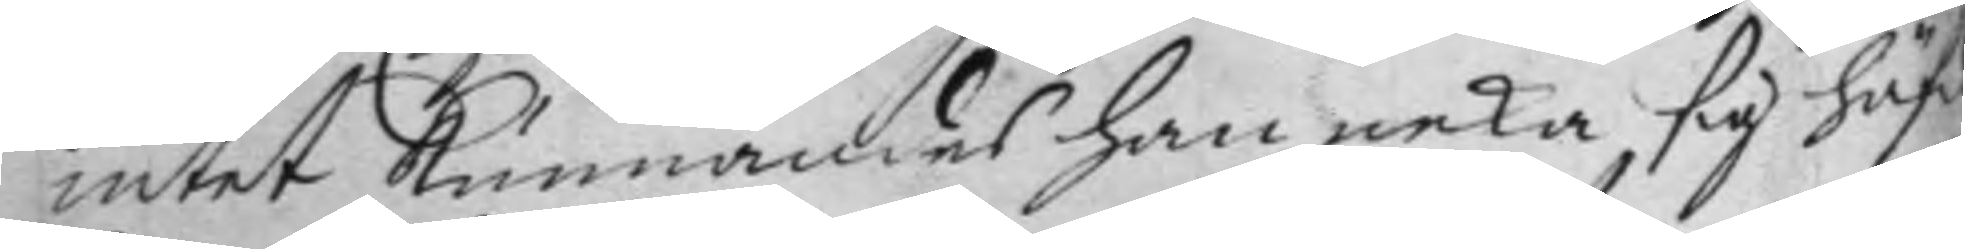intet kunnandes han neka, sig häf 
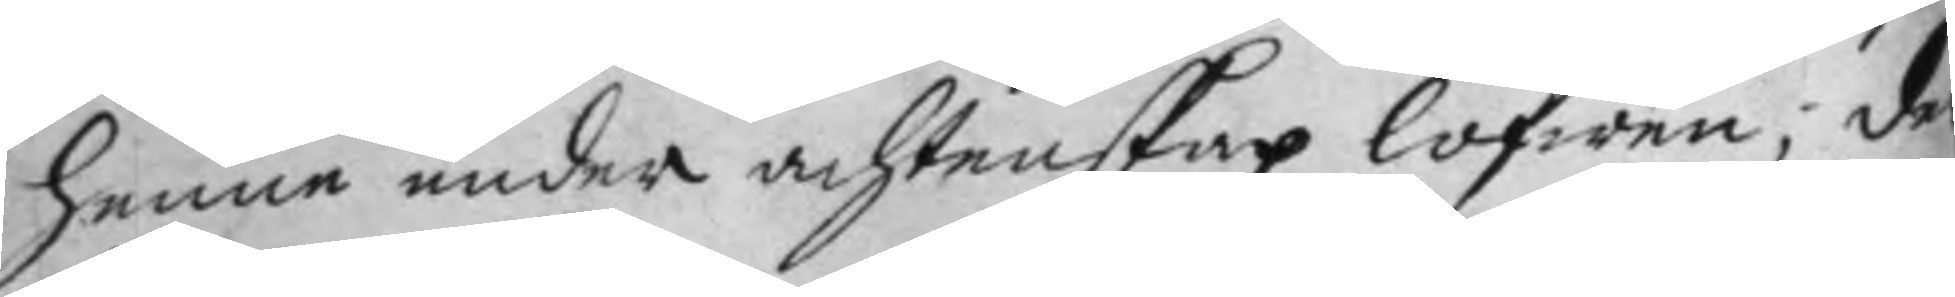henne under achtenskap lofwen; der
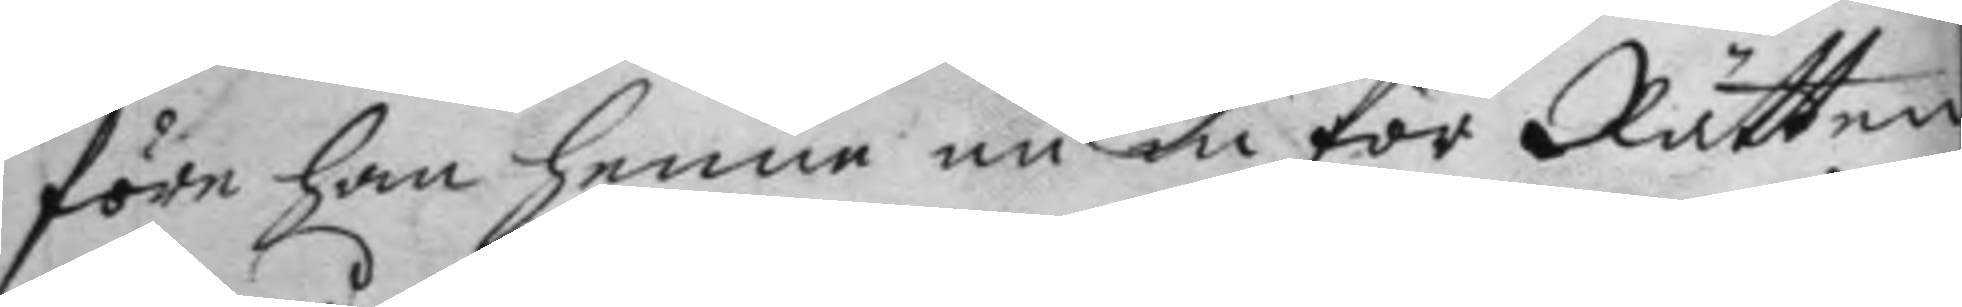före han henne nu in för Rätten
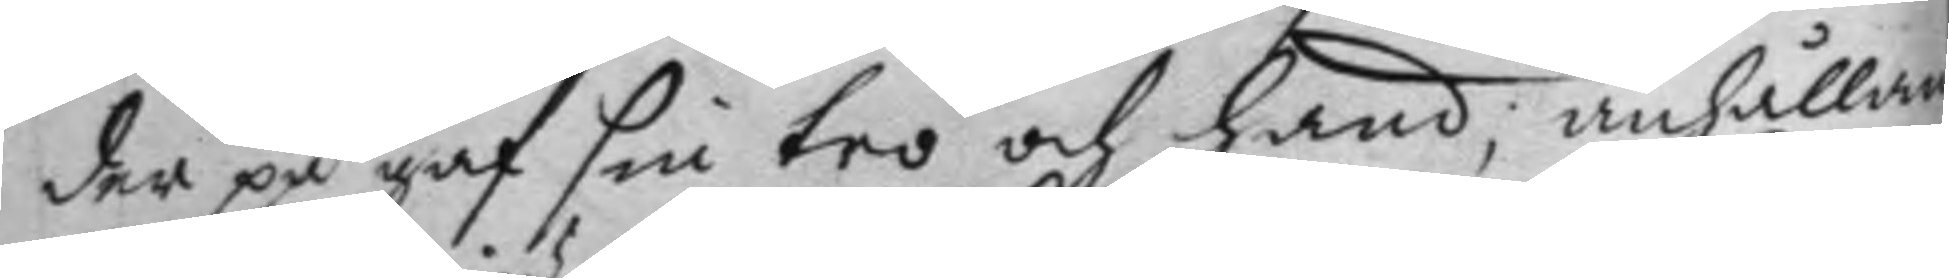der på gaf sin tro och hand; anhållan
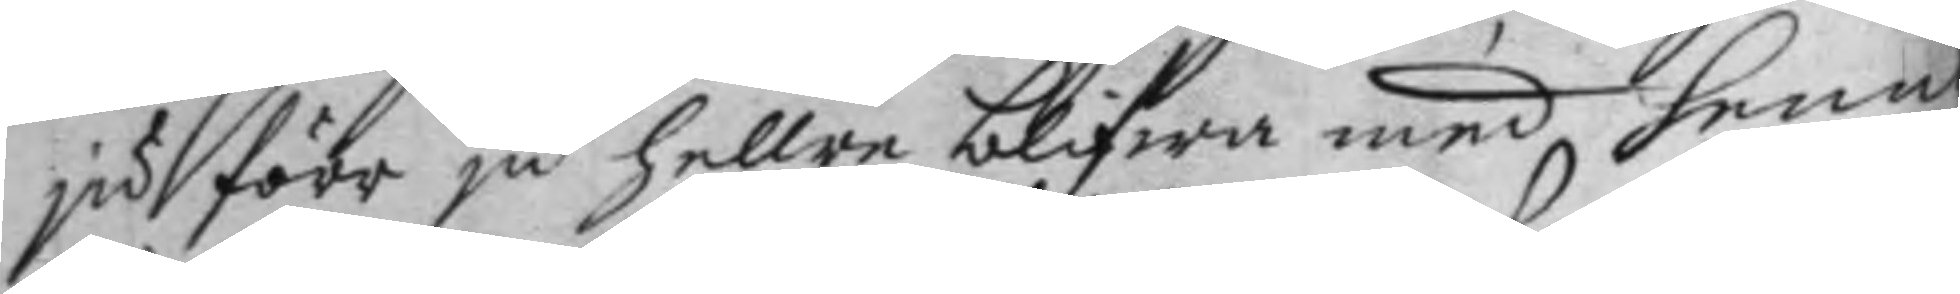ju förr ju hellre blifwa med henne
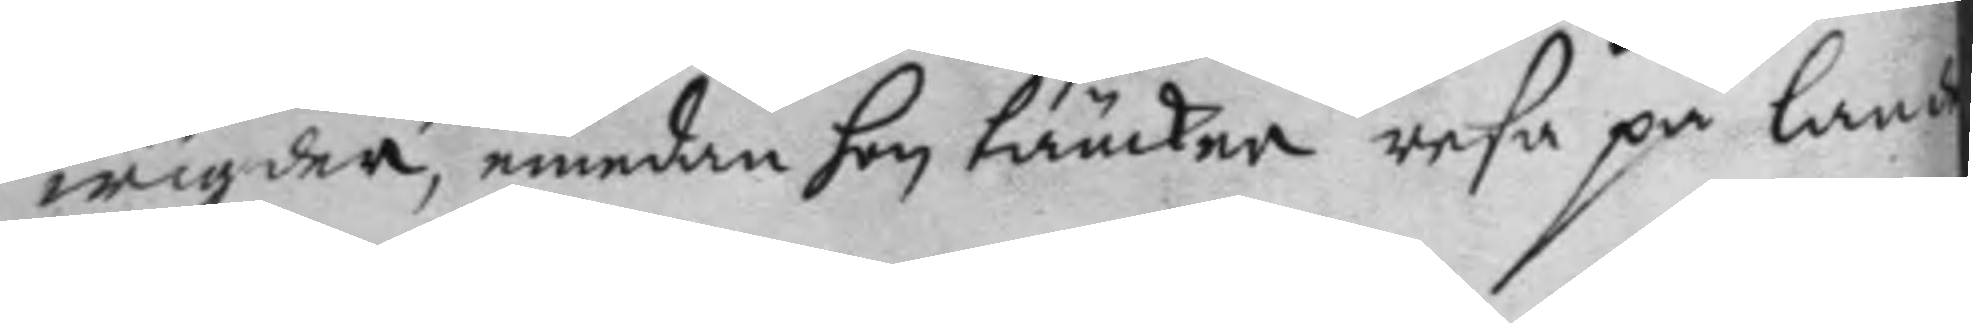wigder, emedan hon täncker resa på lande
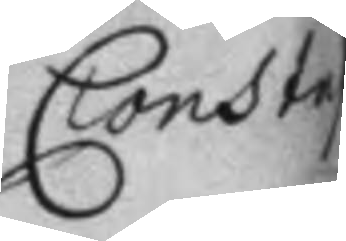Constap
